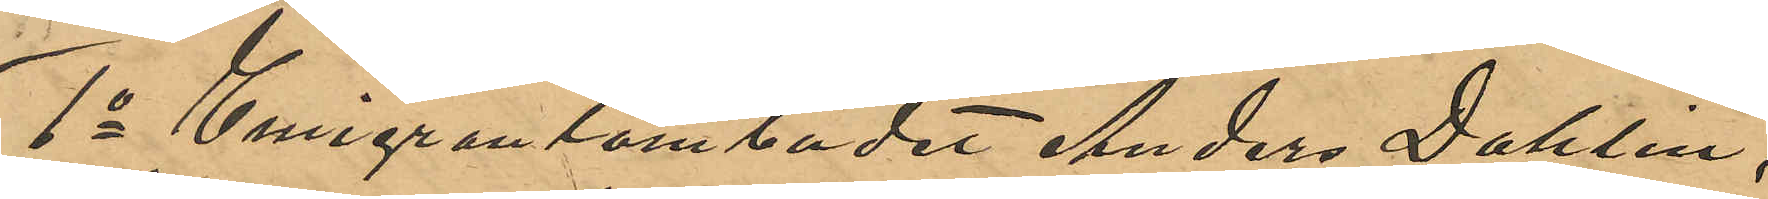1o Emigrantombudet Anders Dahlin,
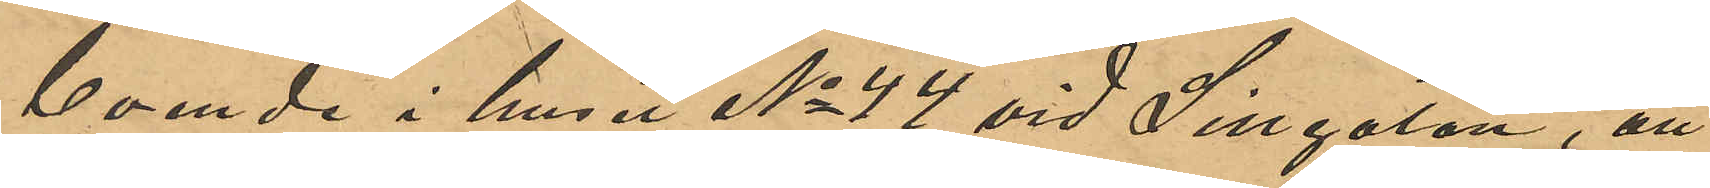boende i huset No 44 vid Sillgatan, att
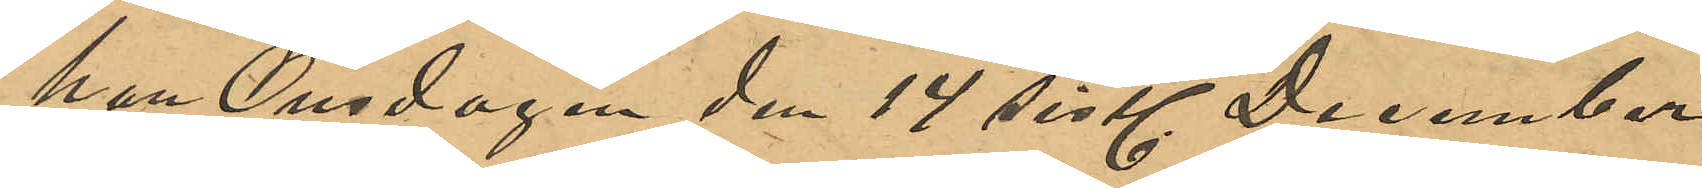han Onsdagen den 14 sistl. December
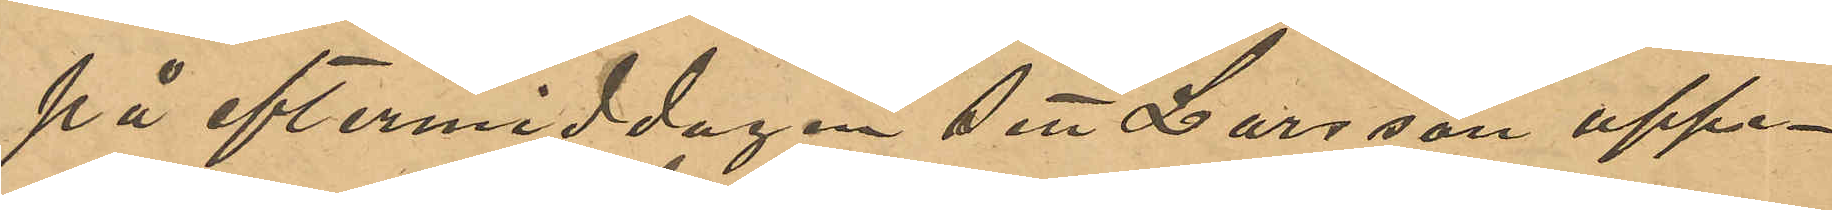på eftermiddagen sett Larsson uppe¬
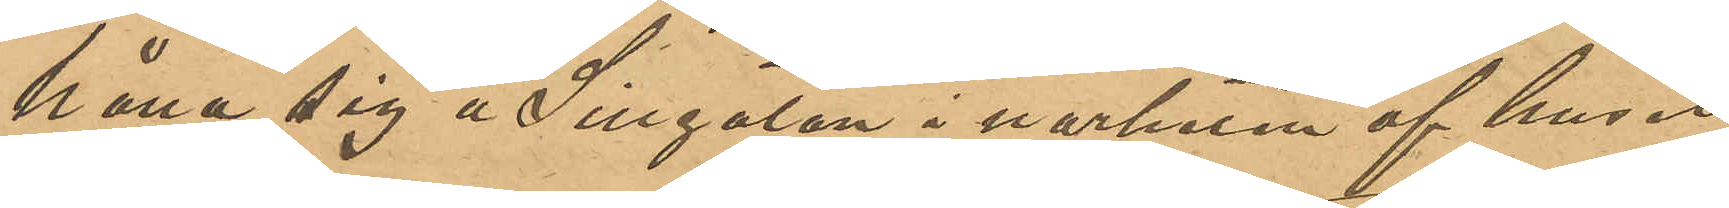hålla sig å Sillgatan i narheten af huset
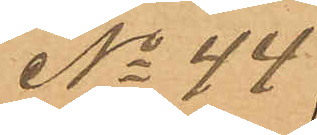No 44;
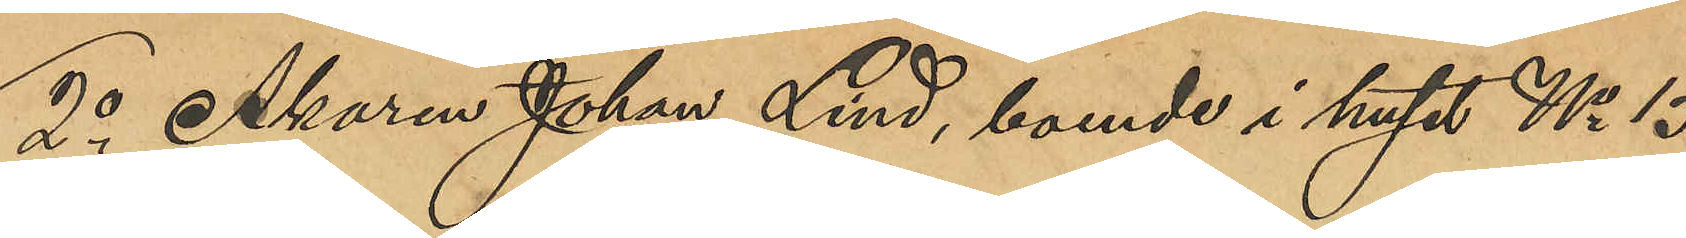2o Åkaren Johan Lind, boende i huset No 15
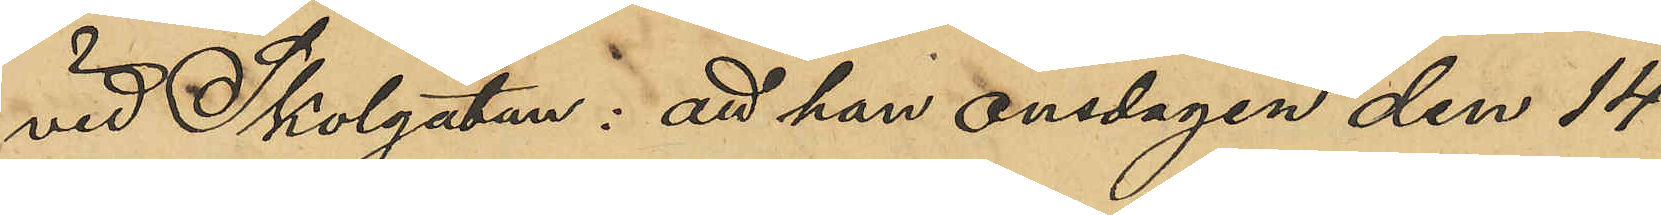vid Skolgatan: att han onsdagen den 14
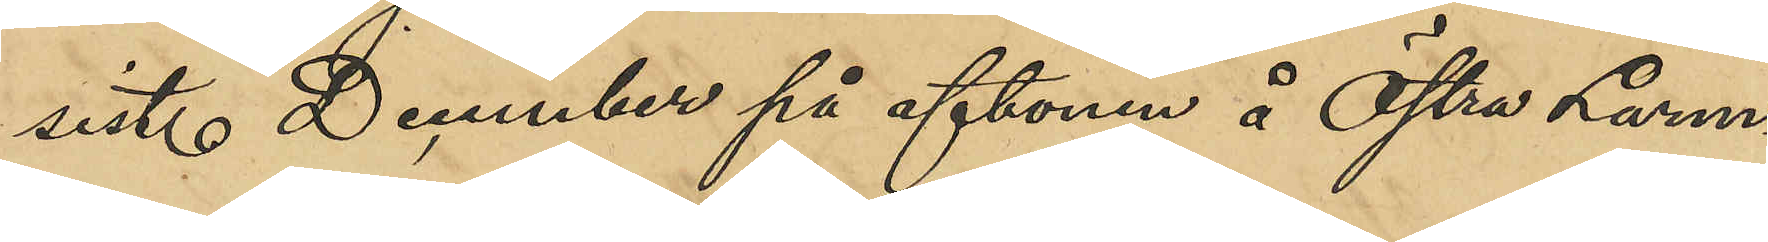sist. December på aftonen å Östra Larm¬
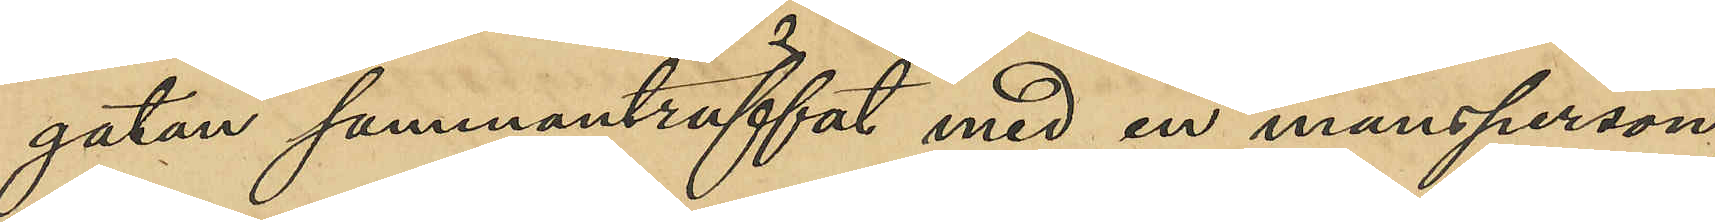gatan sammanträffat med en mansperson,
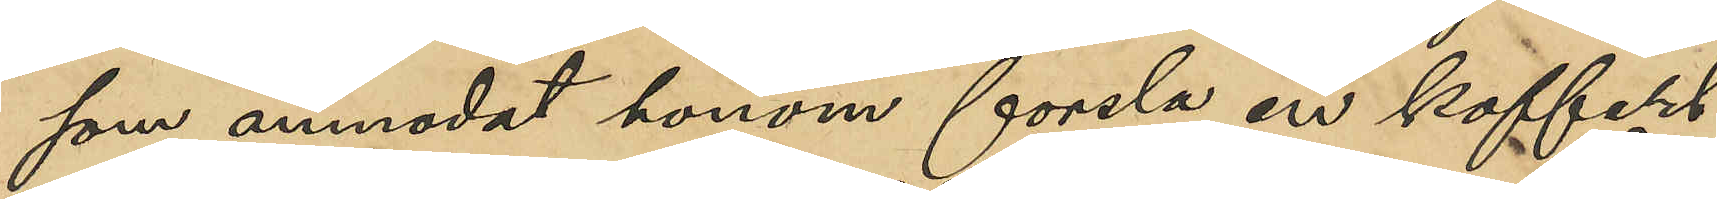som anmodat honom forsla en koffert
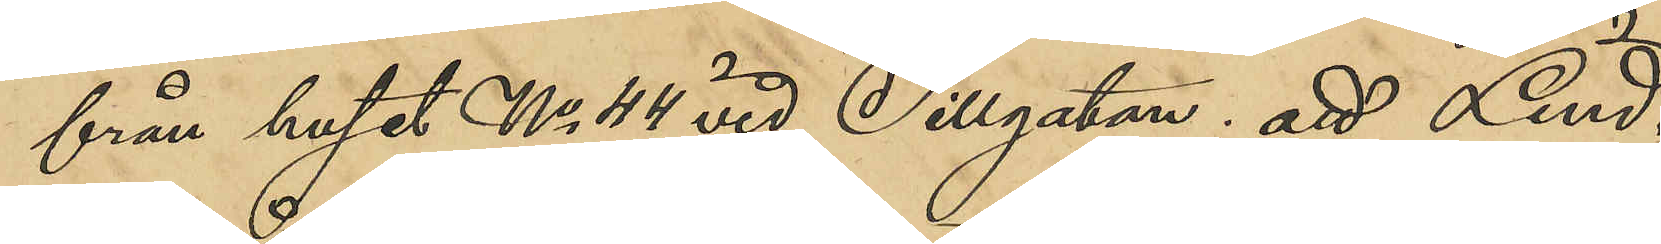från huset No 44 vid Sillgatan; att Lind
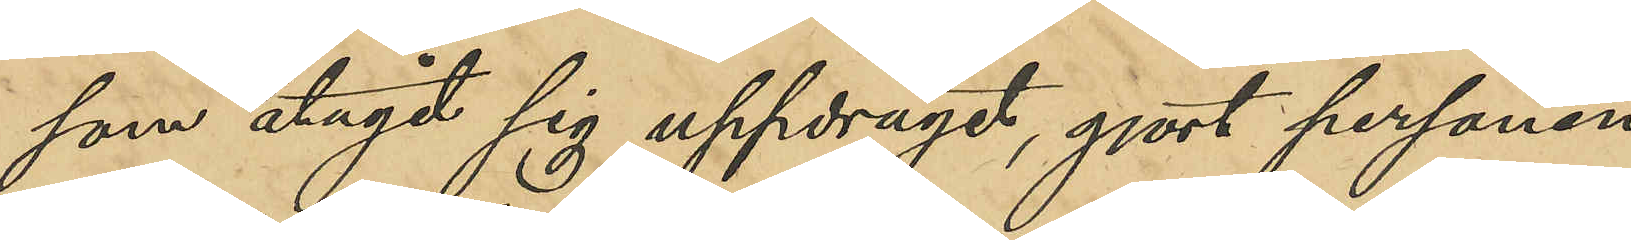som åtagit sig uppdraget, gjort personen
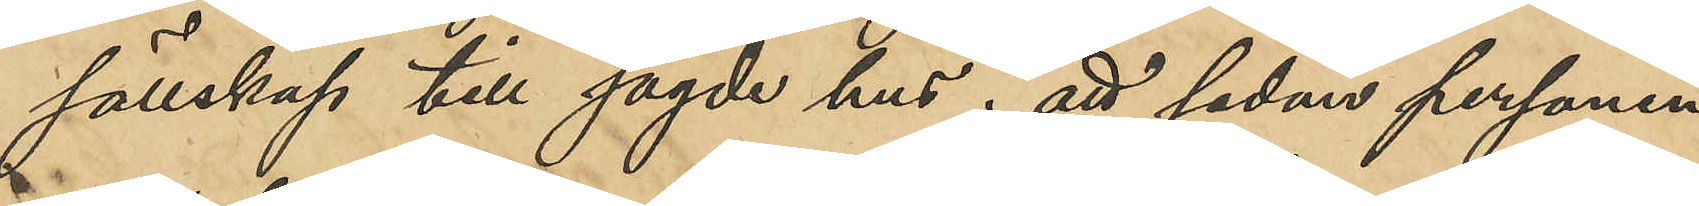sällskap till sagde hus; att sedan personen
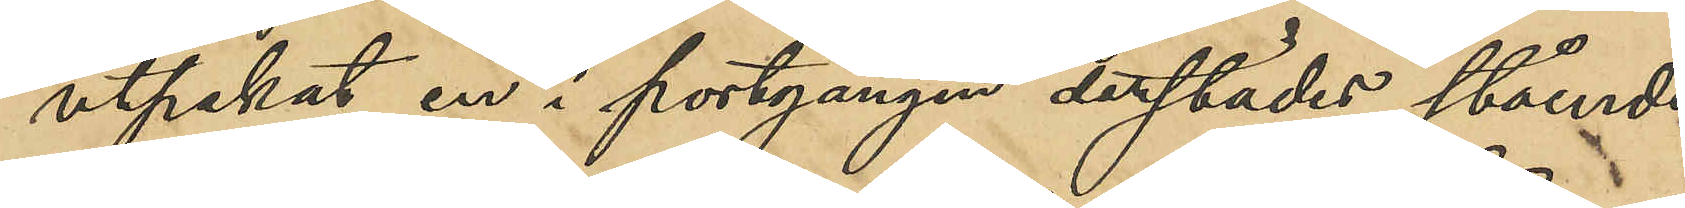utpekat en i portgången derstädes stående
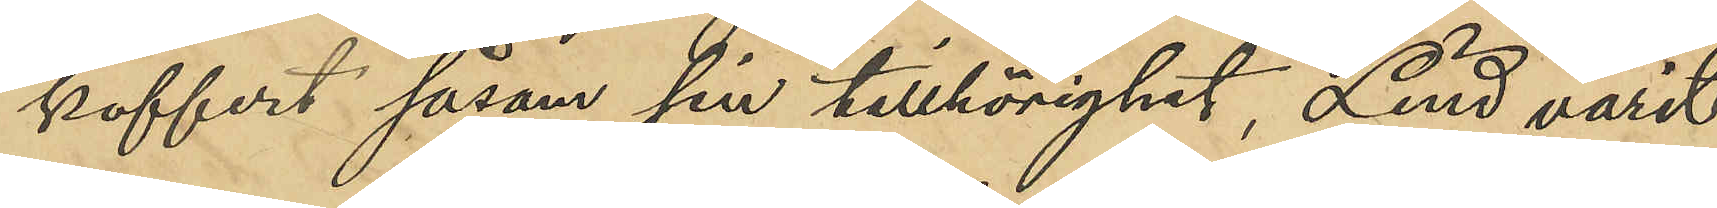koffert såsom sin tillhörig, Lind varit
